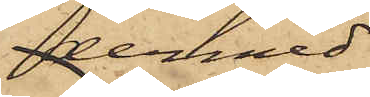dermed
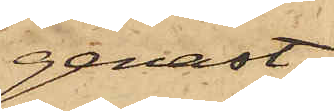genast
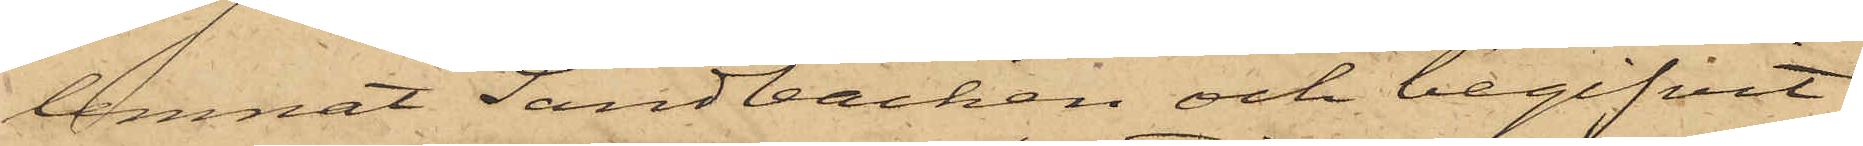lemnat Sandbacken och begifvit
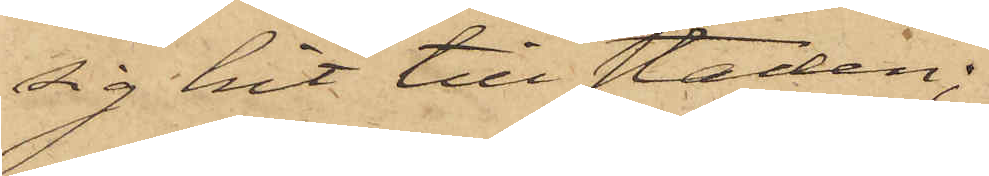sig hit till staden;
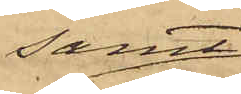samt
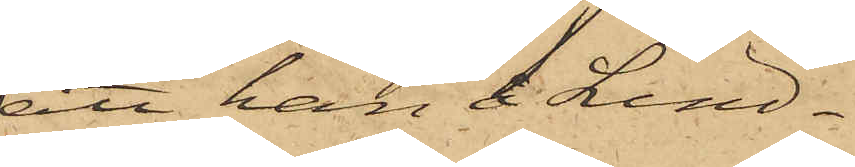att han å Lind¬
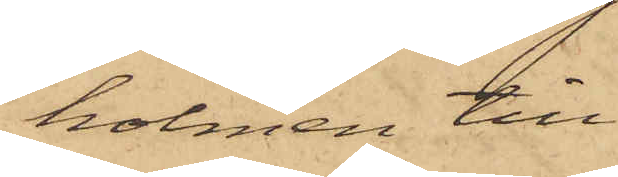holmen till
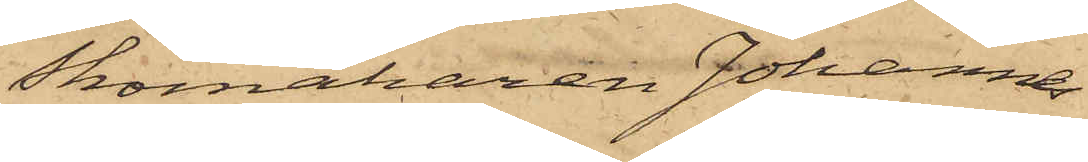Skomakaren Johannes
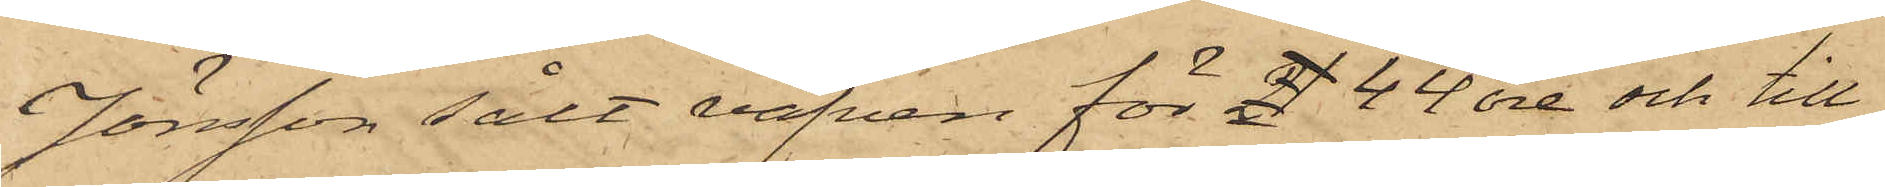Jönsson sålt väfven för 21 44 öre och till
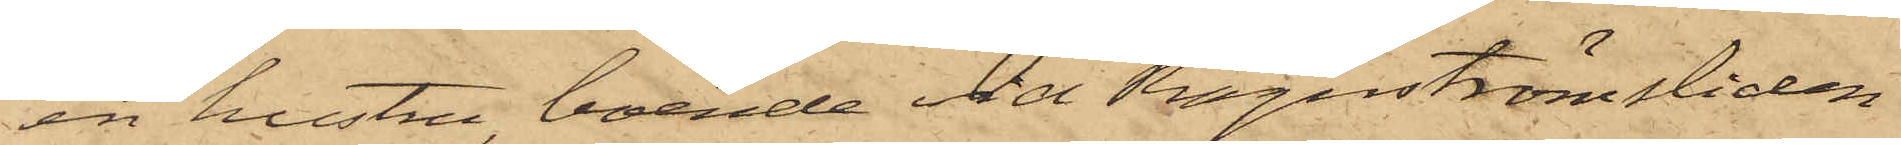en hustru boende vid Ragnströmsliden
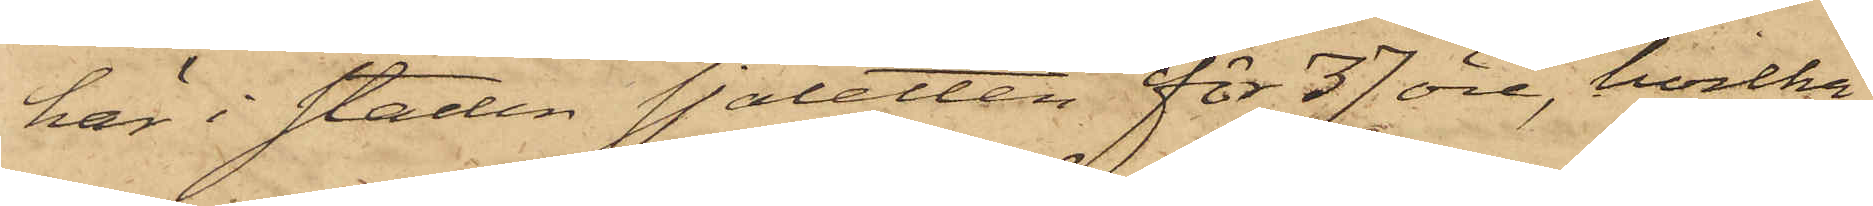här i staden sjaletten för 37 öre, hvilka
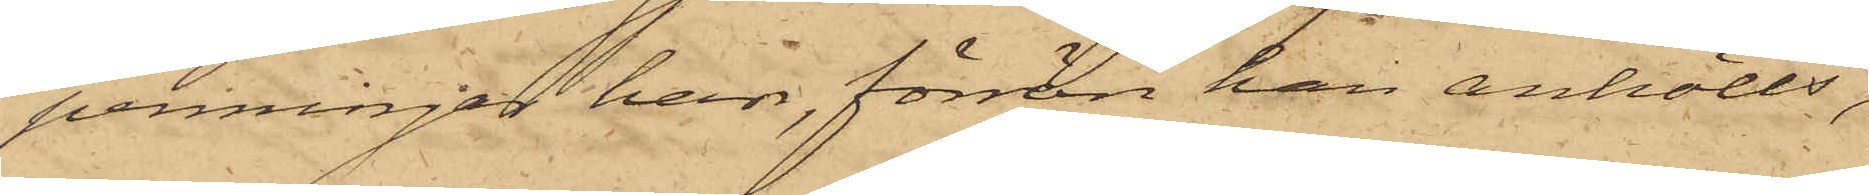penningar han, förrän han anhölls,
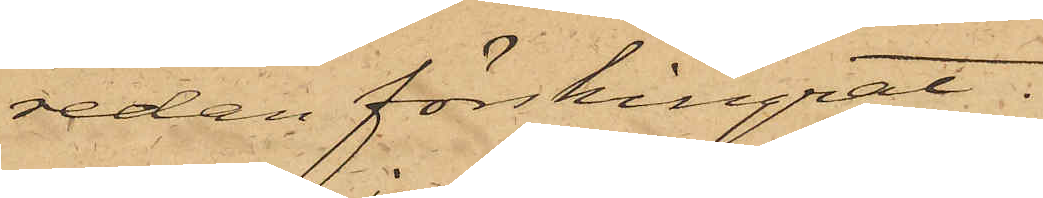redan förskingrat.
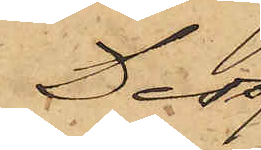Der¬
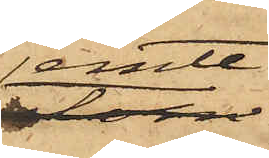jemte
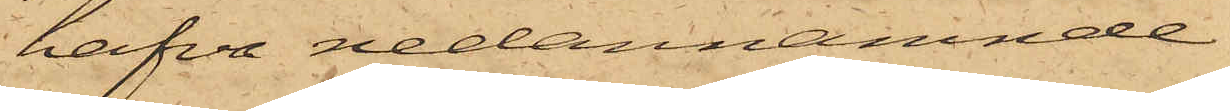hafva nedannämnde
